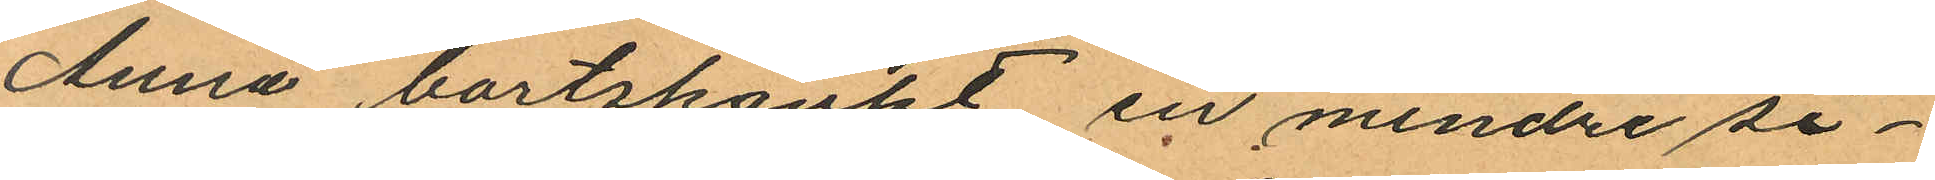Anna bortskänkt en mindre si¬
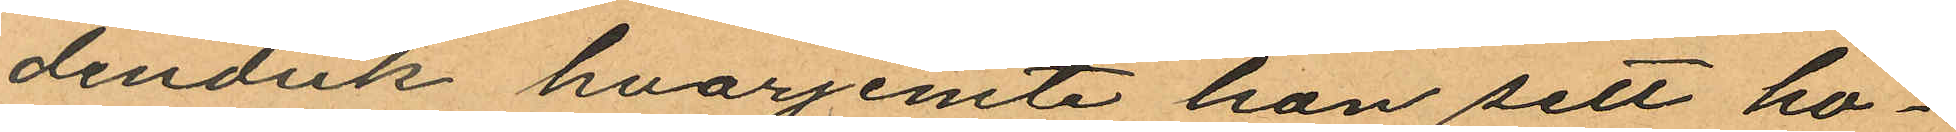denduk hvarjemte hon sett ho¬
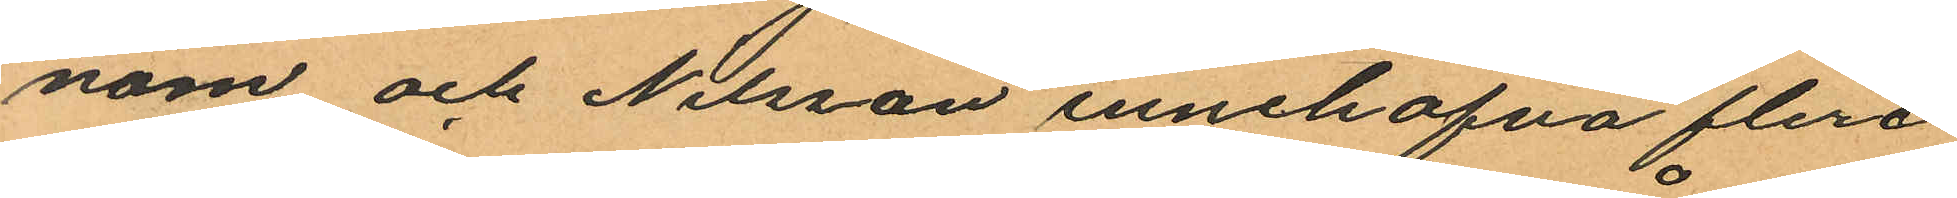nom och Nilsson innehafva flera
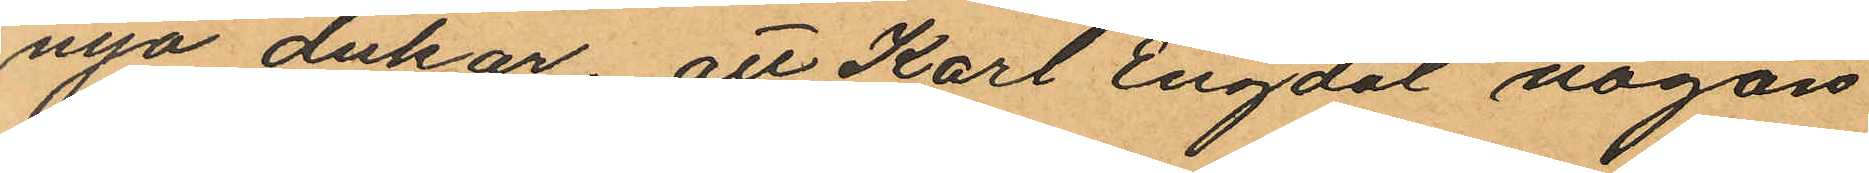nya dukar; att Karl Engdal någon
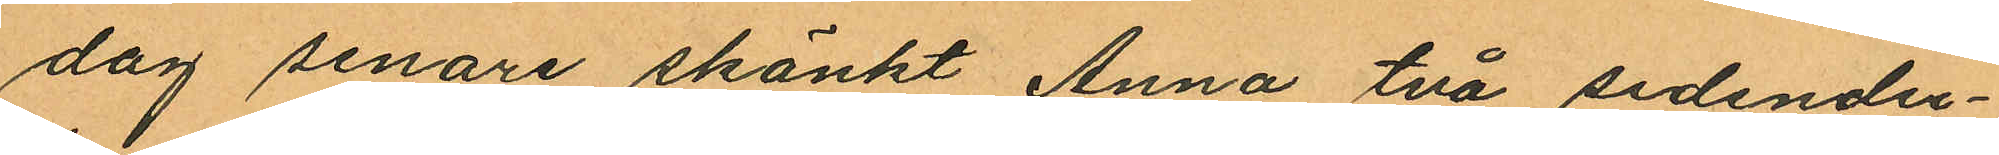dag senare skänkt Anna två sidendu¬
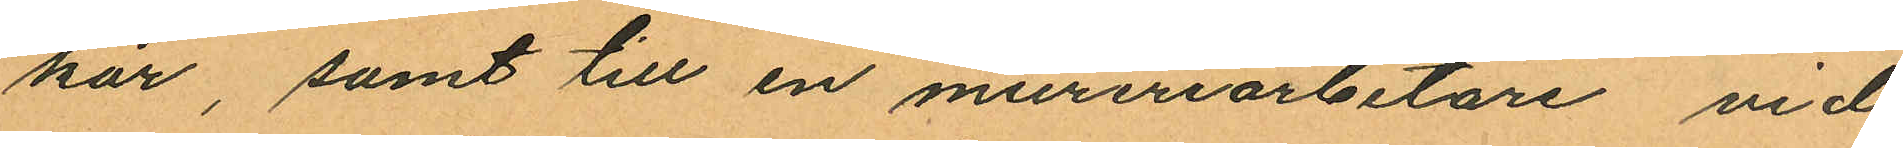kar, samt till en mureriarbetare vid
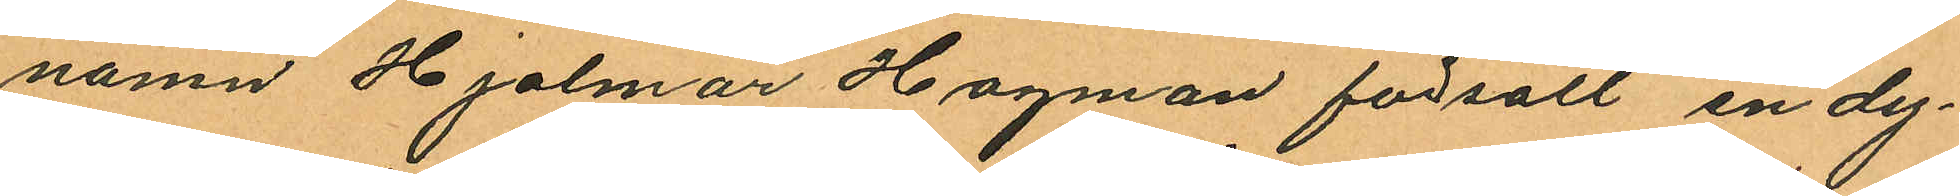namn Hjalmar Hagman försålt en dy¬
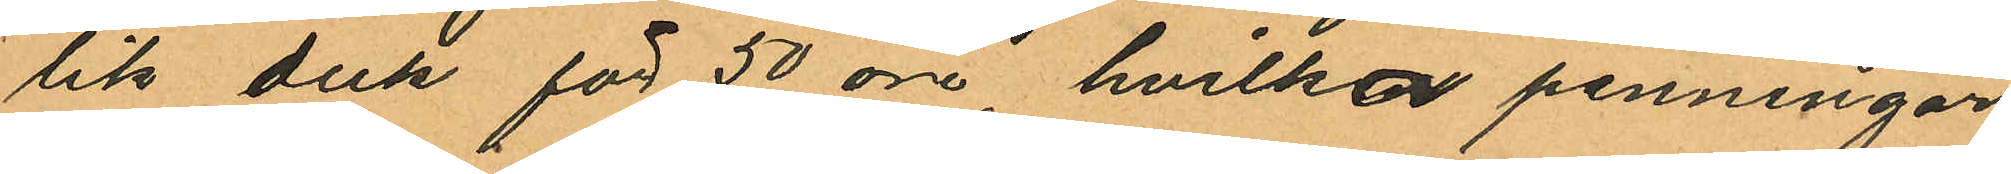lik duk för 50 öre, hvilka penningar
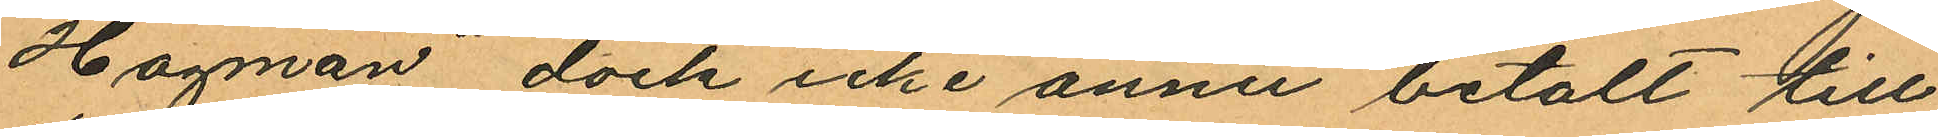Hagman dock icke ännu betalt till
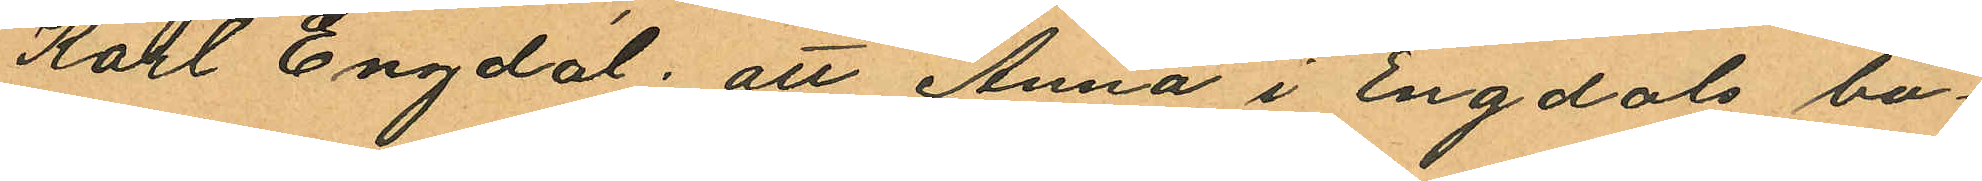Karl Engdal; att Anna i Engdals bo¬
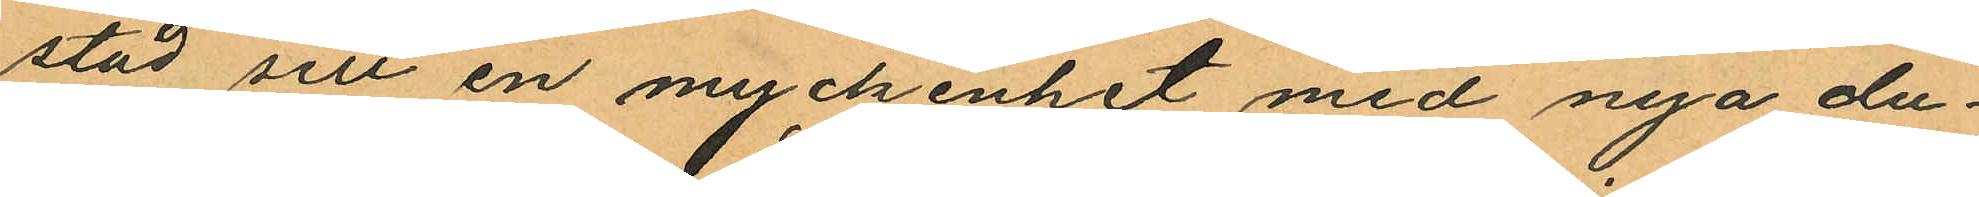stad sett en myckenhet med nya du¬
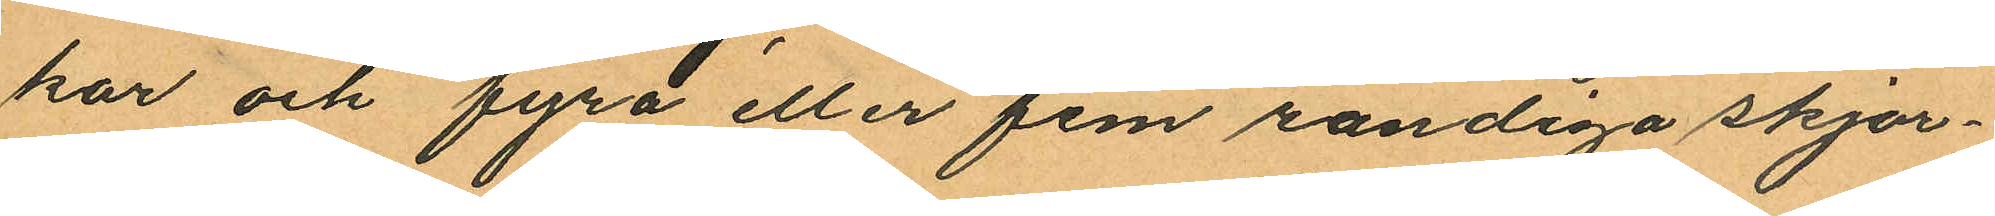kar och fyra eller fem randiga skjor¬
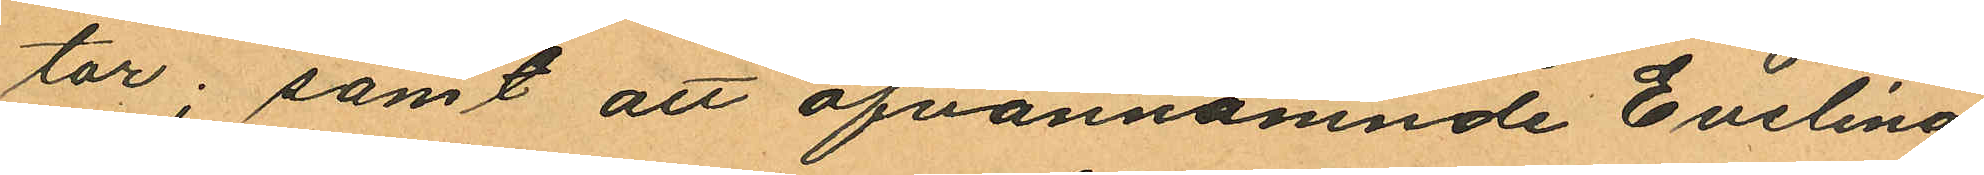tor; samt att ofvannämnde Evelina
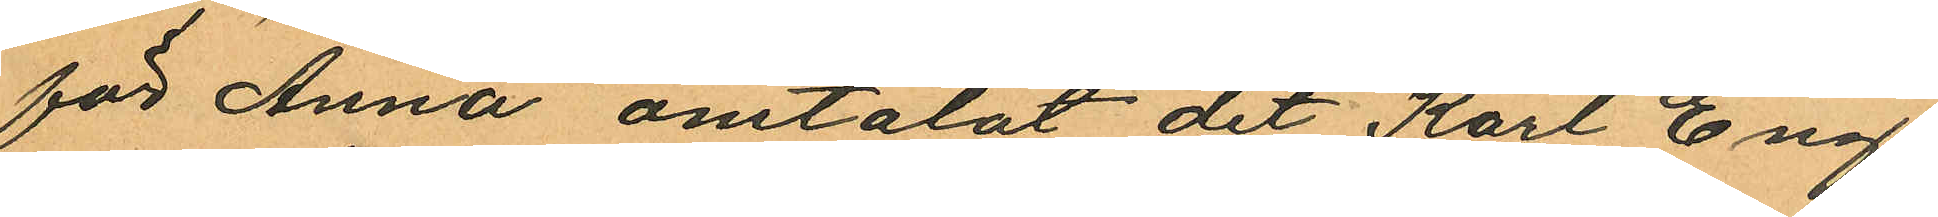för Anna omtalat det Karl Eng¬
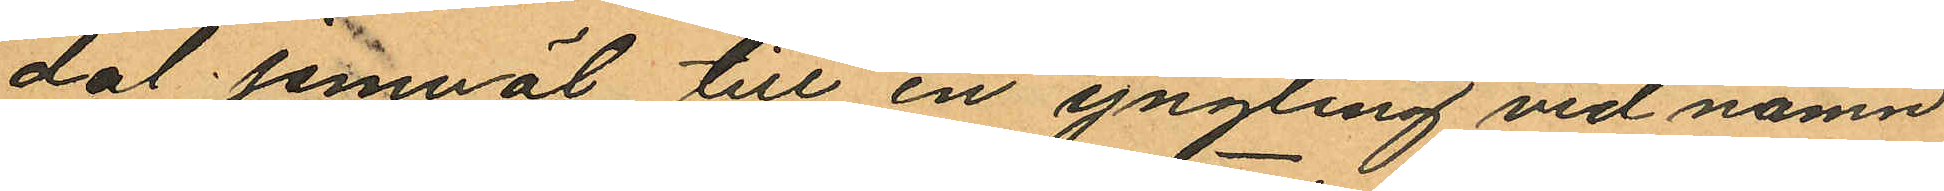dal jemväl till en yngling vid namn
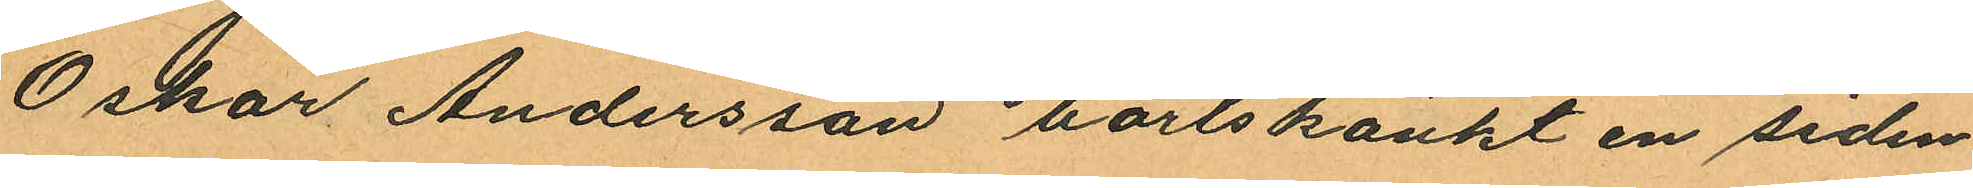Oskar Andersson bortskänkt en siden¬
